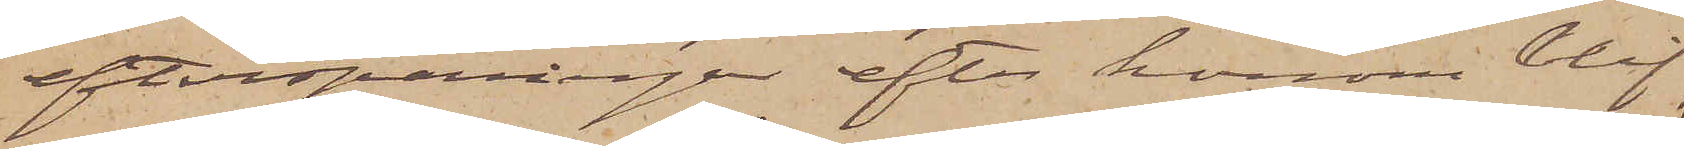efterspaningar efter honom blif¬
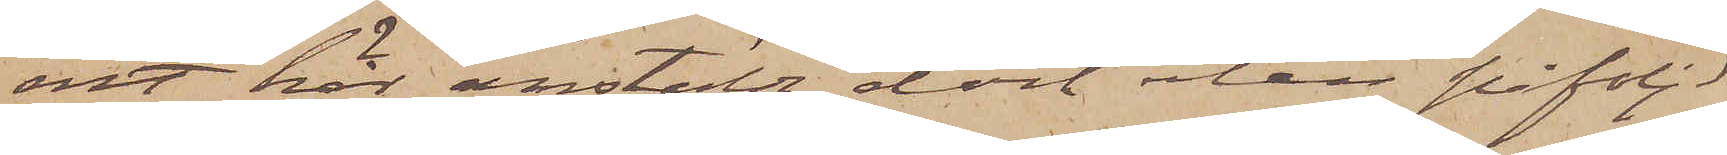vit här anstälda dock utan påföljd
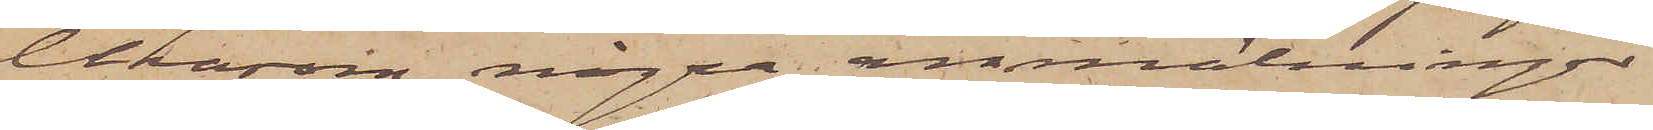liksom några anmälningar
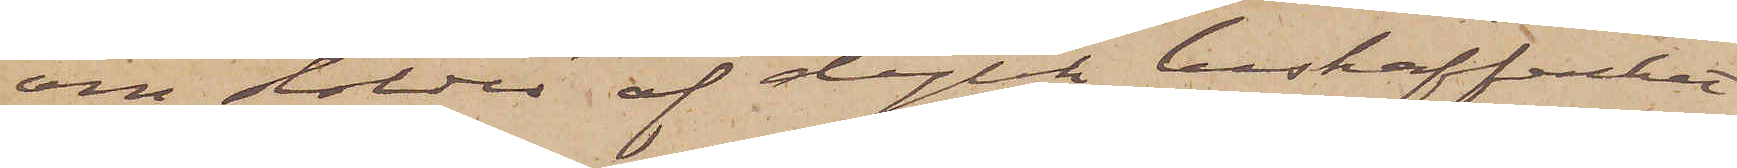om stölder af dylik beskaffenhet
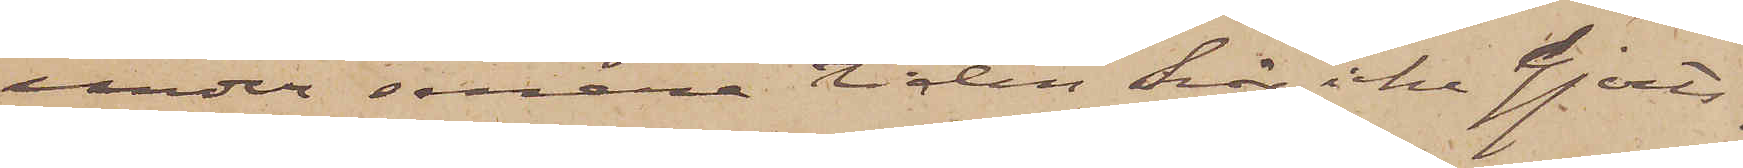under senare tiden här icke gjorts.
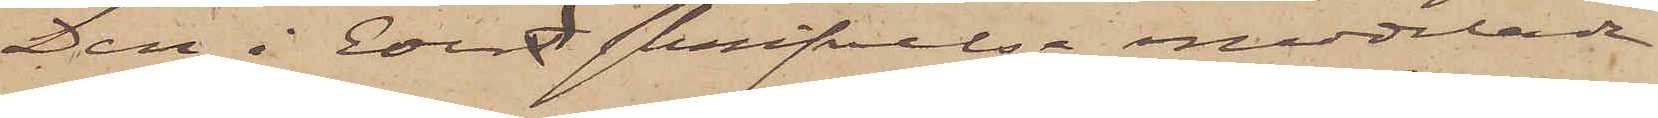Den i Edert skrifvelse meddelade
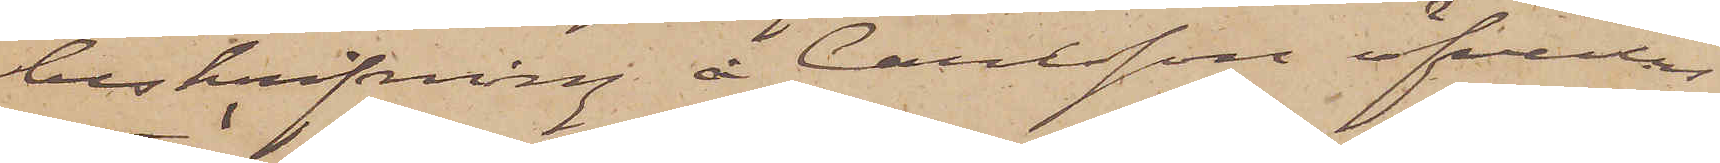beskrifning å Carlsson öfverens¬
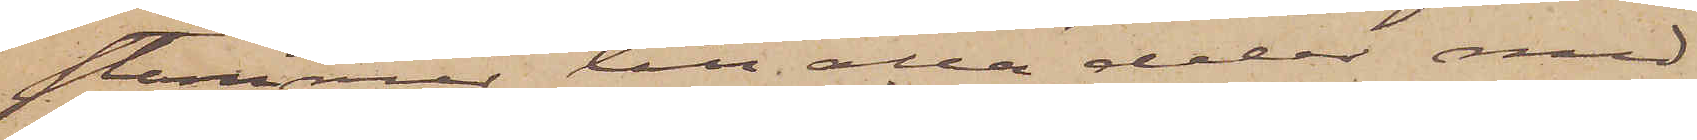stämmer till alla delar med
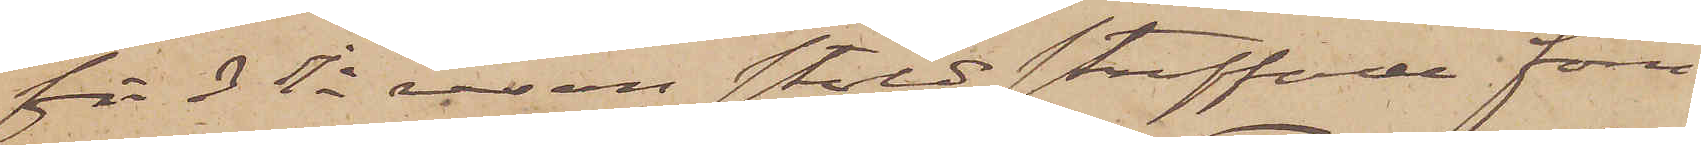för 3dje resan stöld straffade förre
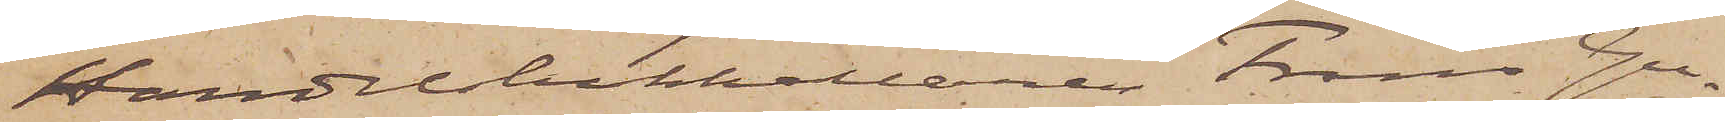Handelsbokhållaren Frans Gu¬
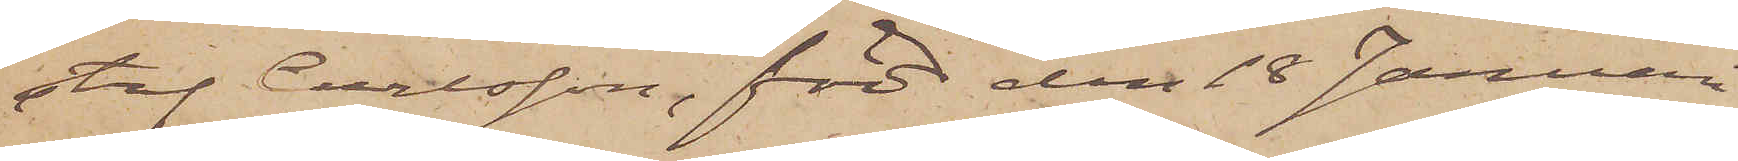staf Carlsson, född den 18 Januari
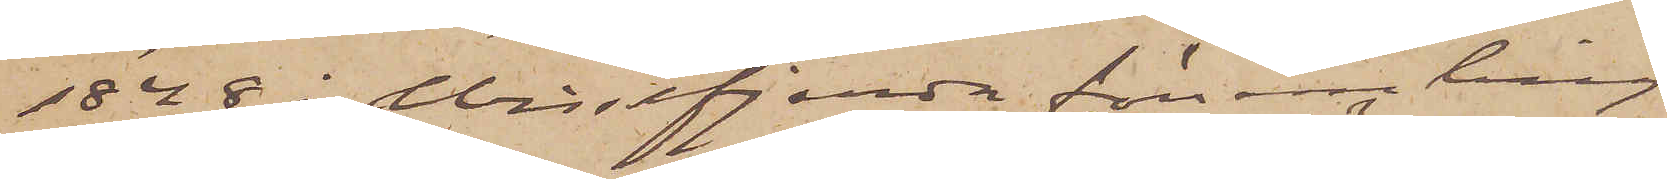1848 i Vissefjerda församling
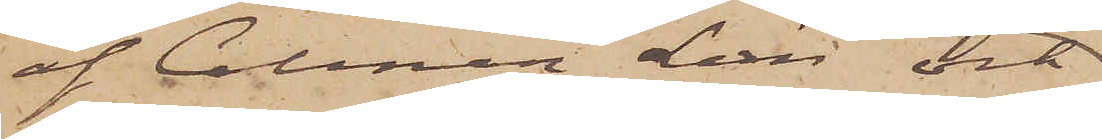af Calmar Län och
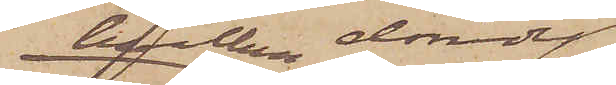hvilken dömdts
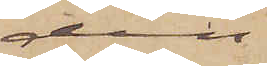den
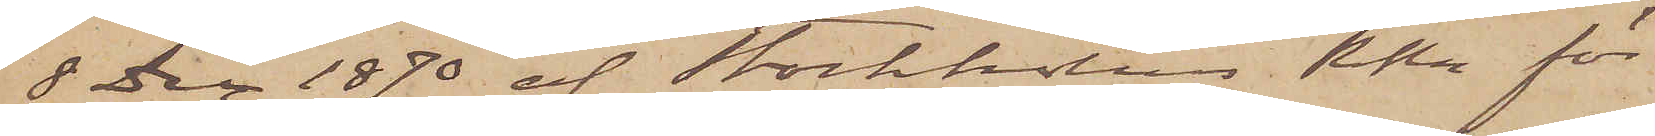8 Dec 1870 af Stockholms RRtt för
